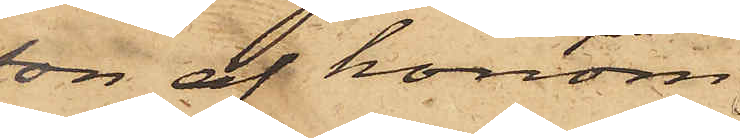son af honom
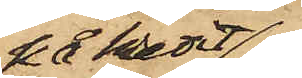på kredit
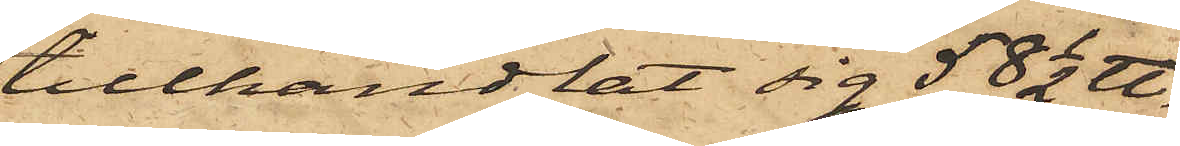tillhandlat sig 58 1/2 ℔.
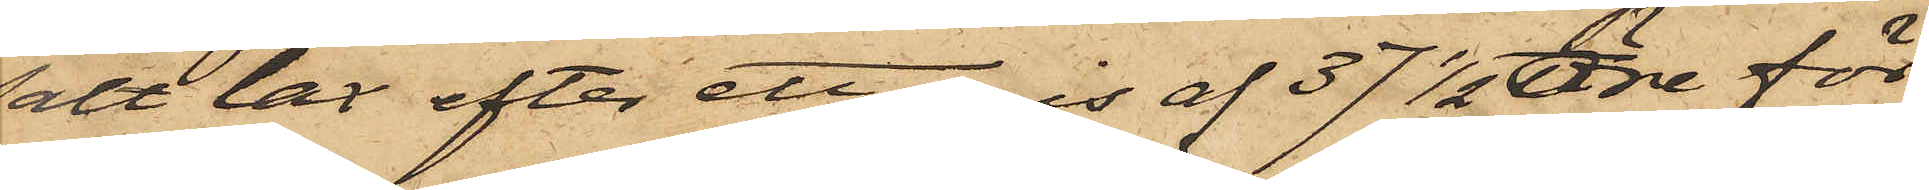salt lax efter ett pris af 37 1/2 öre för
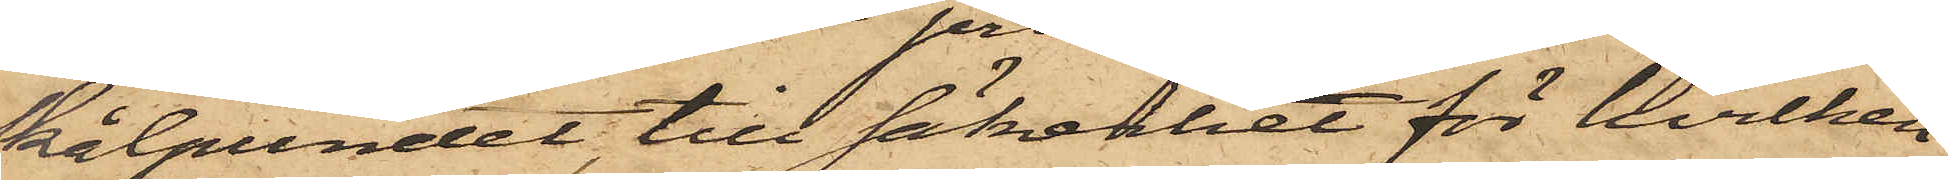skålpundet, till säkerhet för hvilken
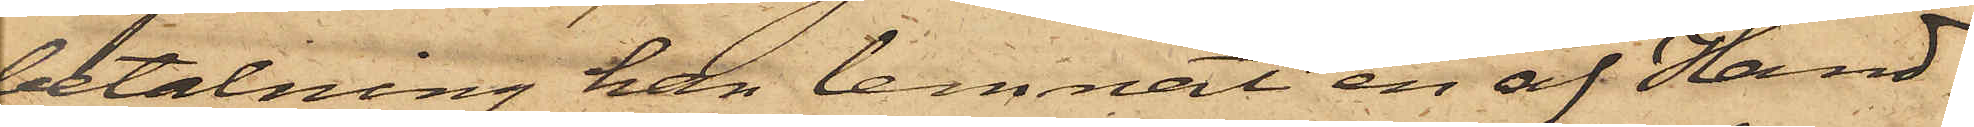betalning han lemnat en af Hand¬
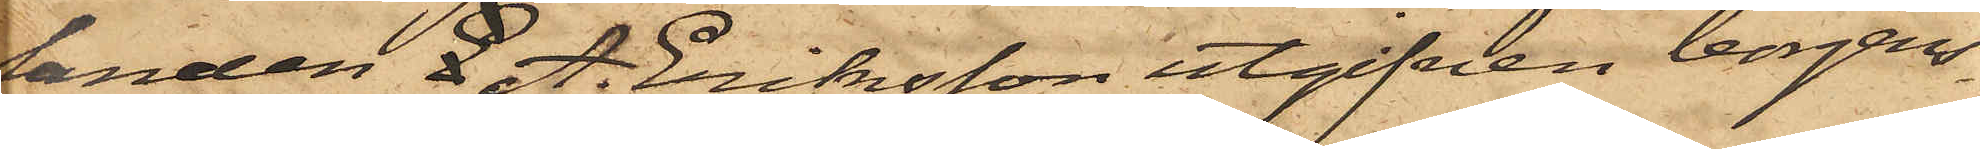landen E. A. Eriksson utgifven borgens¬
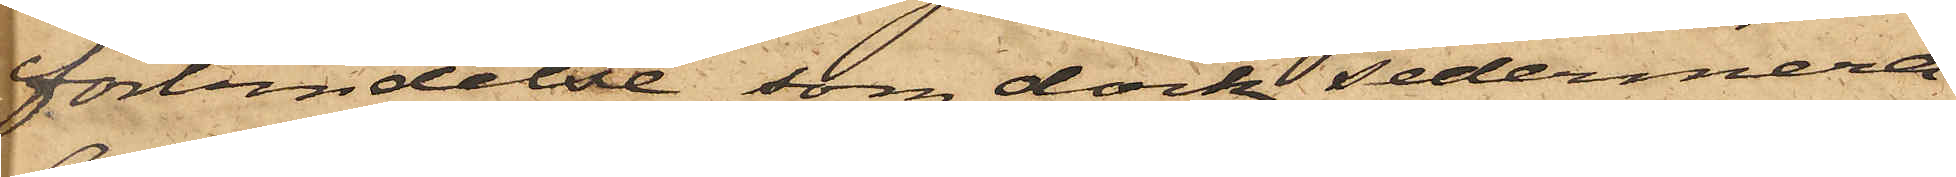förbindelse, som dock sedermera
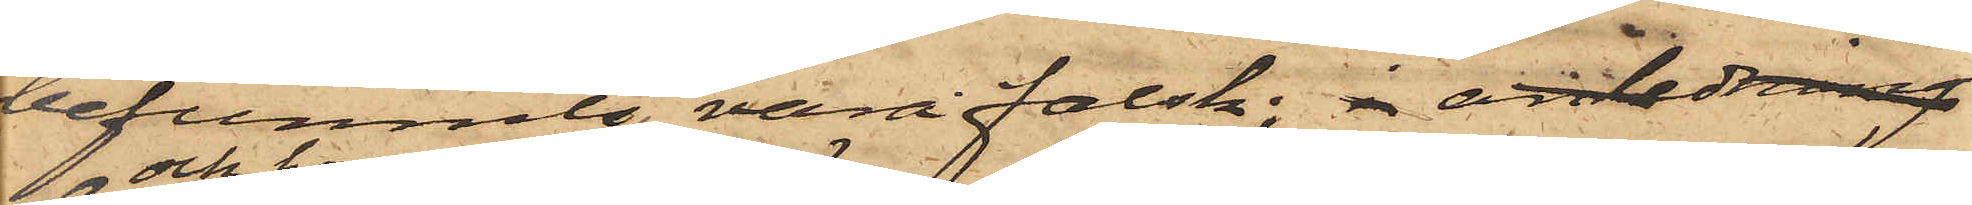befunnits vara falsk; i anledning
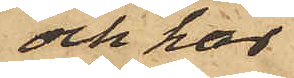och har
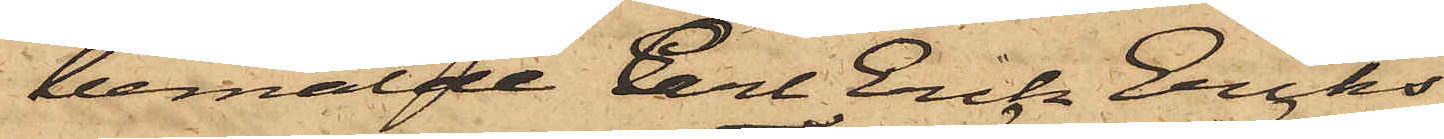bemälde Carl Erik Eriks¬
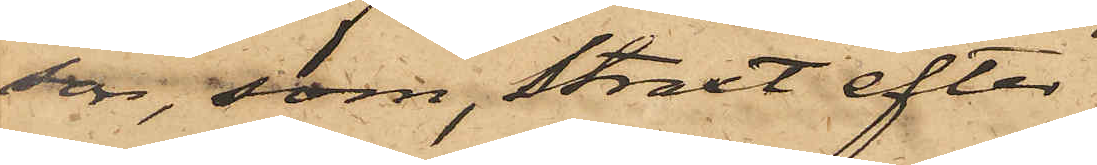son, som, straxt efter
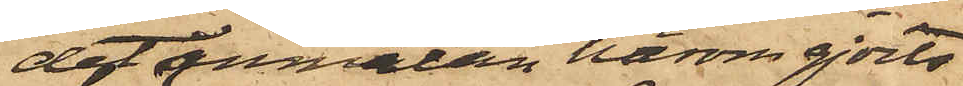det anmälan härom gjorts
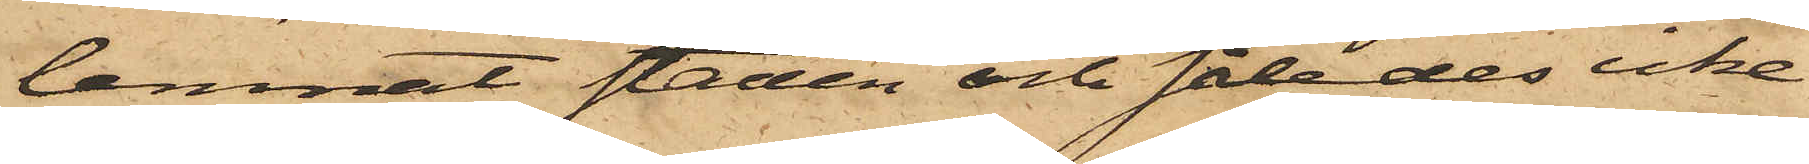, lemnat staden och således icke
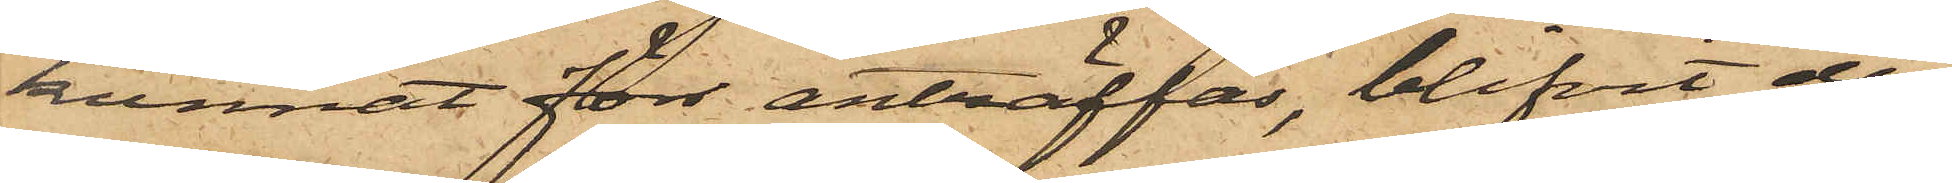kunnat förr anträffas, blifvit den
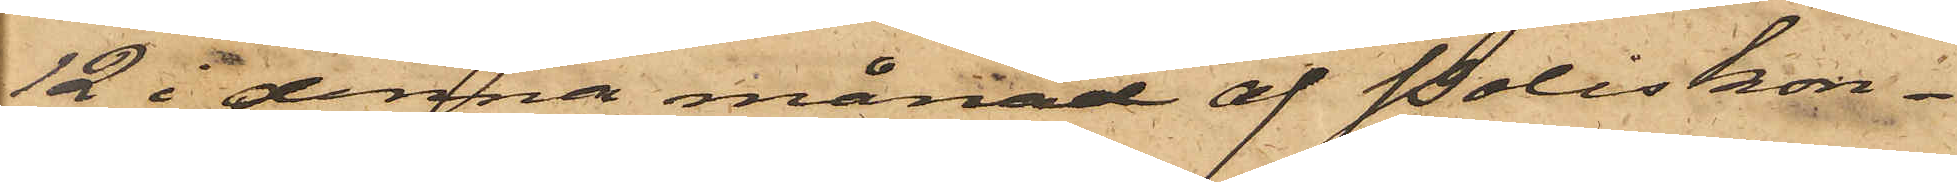12 i denna månad af Poliskon¬
